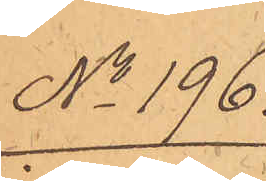No 196.
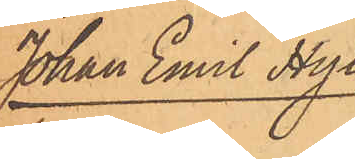Johan Emil Hyl-
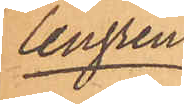lengren.
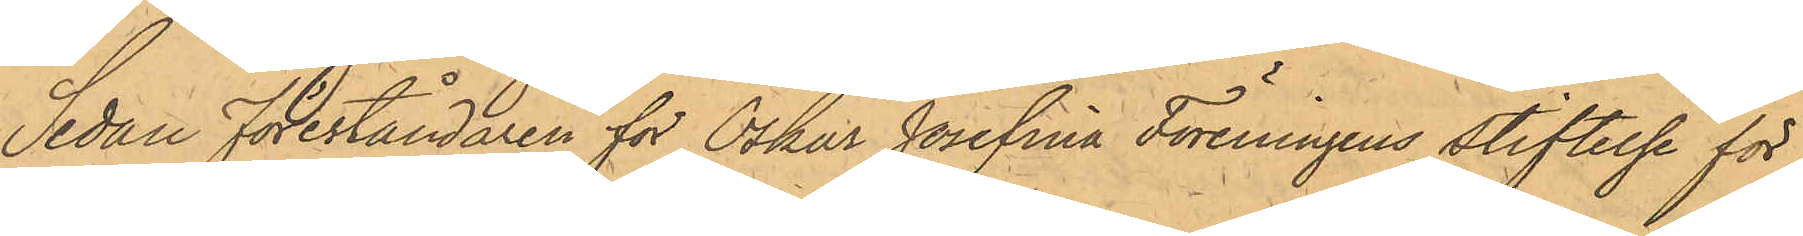Sedan Föreståndaren för Oskar Josefina Föreningens stiftelse för
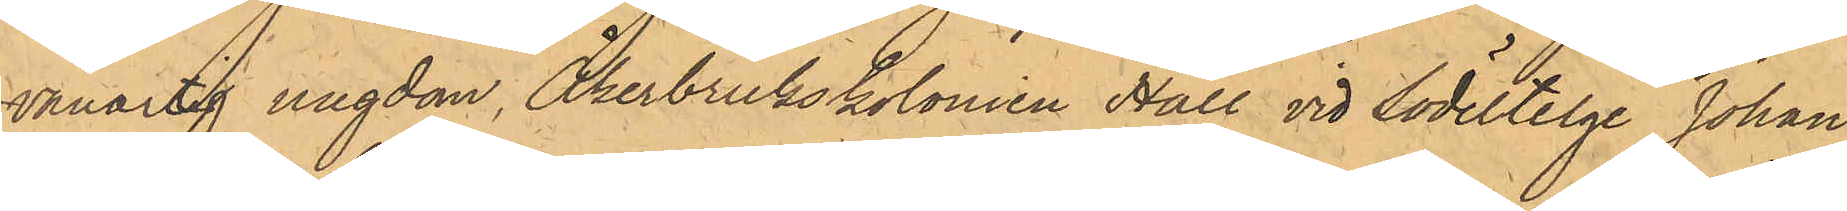vanartig ungdom, Åkerbrukskolonien Hall vid Södertelge Johan
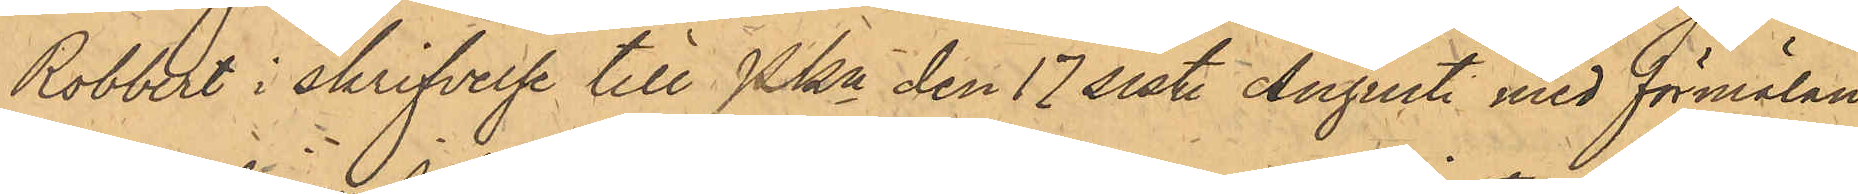Robbert i skrifvelse till Pkn den 17 sist. Augusti med förmälan,
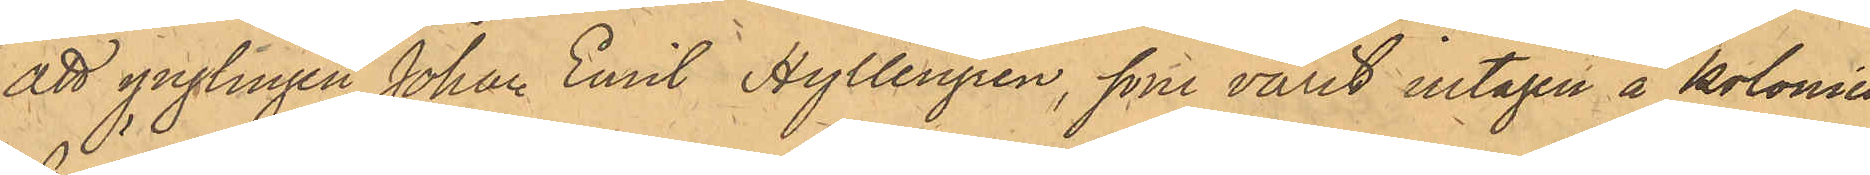att ynglingen Johan Emil Hyllengren, som varit intagen å kolonien,
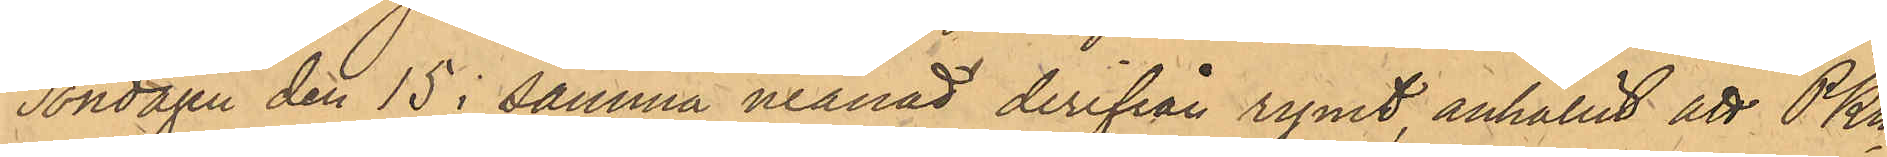Söndagen den 15 i samma månad derifrån rymt, anhållit att PKn
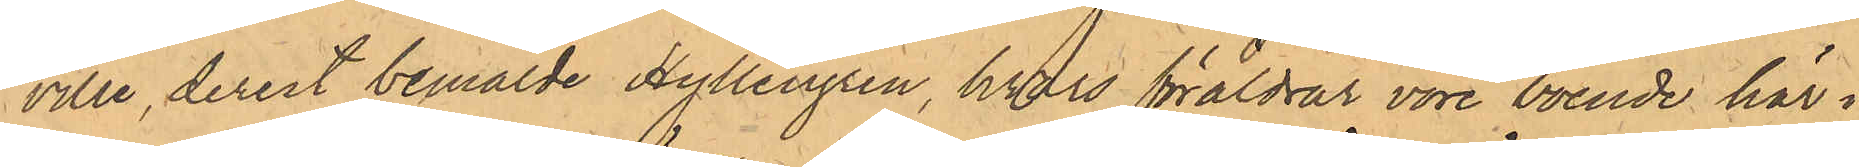ville, derest bemälde Hyllengren, hvars föräldrar vore boende här i
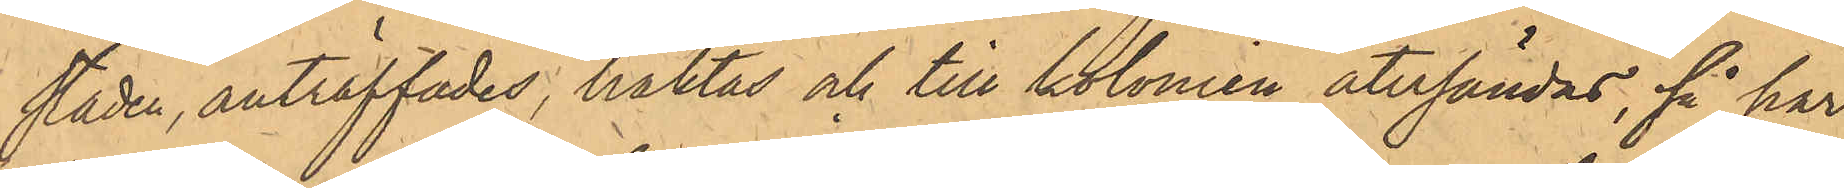staden, anträffades, häktas och till kolonien återsändas, så har
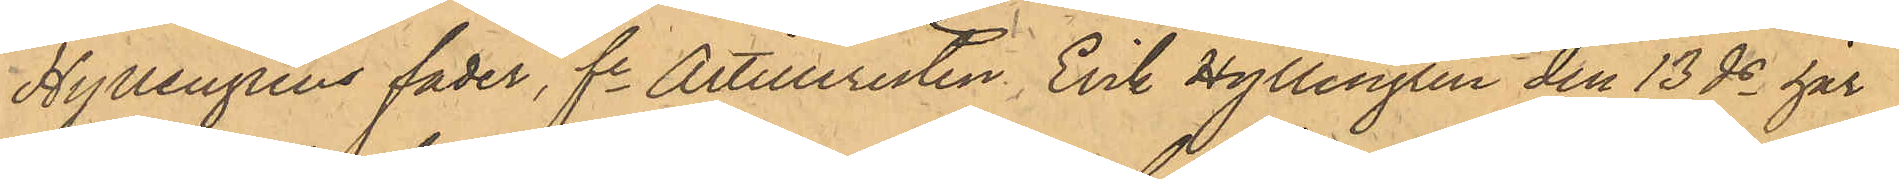Hyllengrens fader, fe Artilleristen Erik Hyllengren den 13 ds här
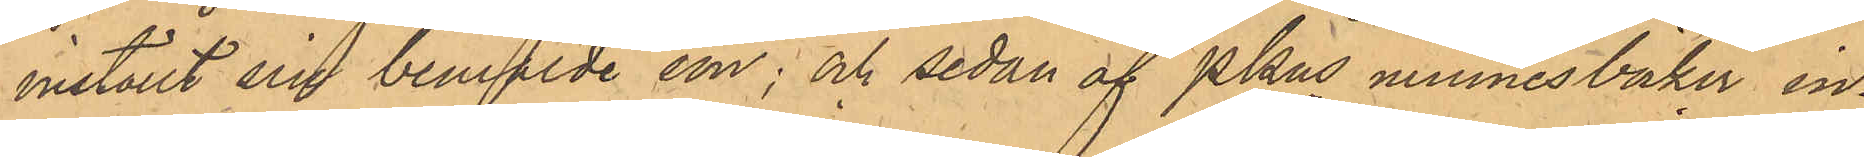inställt sin bemälde son; och sedan af PKns minnesböcker in¬
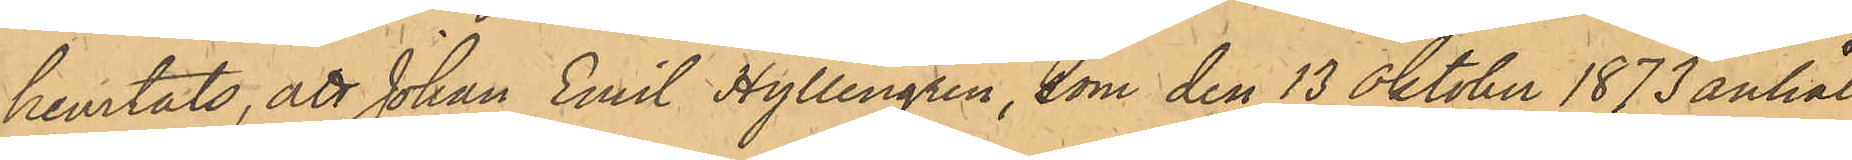hemtats, att Johan Emil Hyllengren, som den 13 Oktober 1873 anhål¬
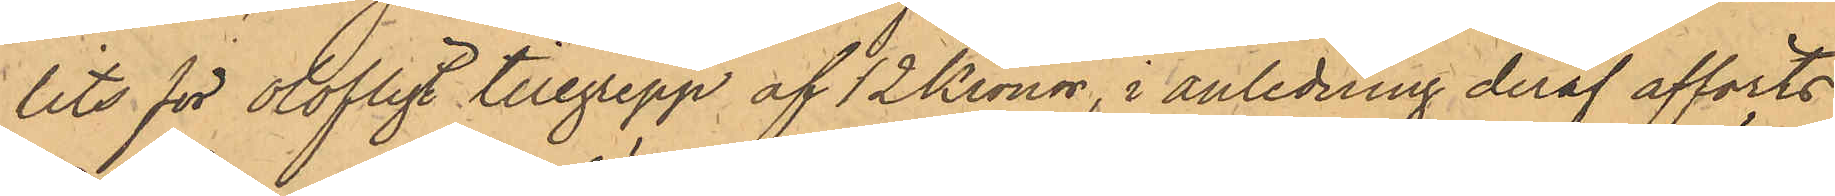lits för olofligt tillgrepp af 12 Kronor, i anledning deraf afförts
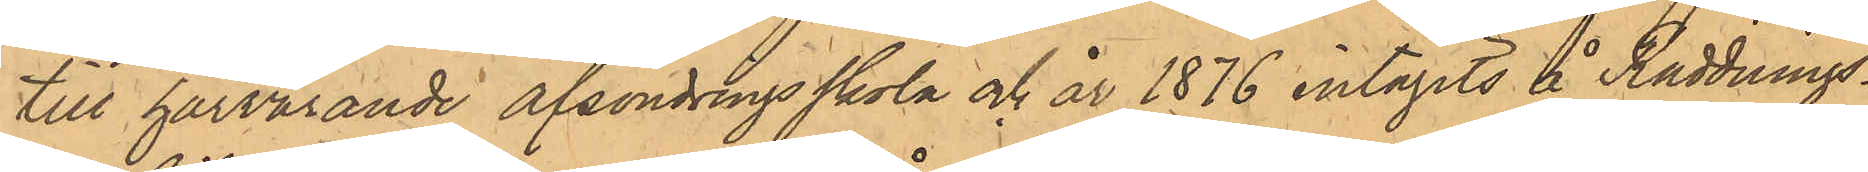till härvarande afsöndringsskola och år 1876 intagits å Räddnings¬
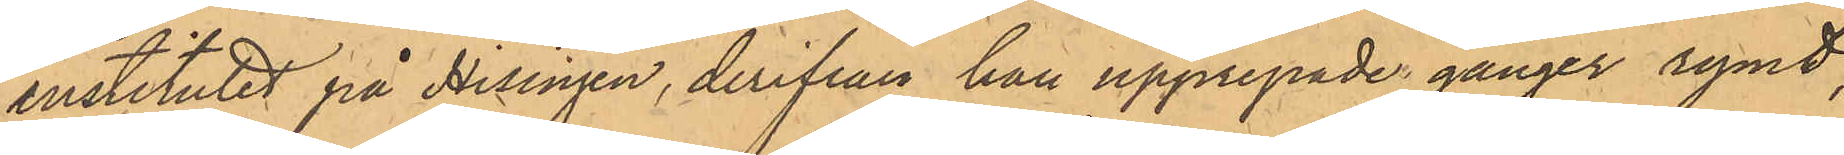institutet på Hisingen, derifrån han upprepade gånger rymt;
